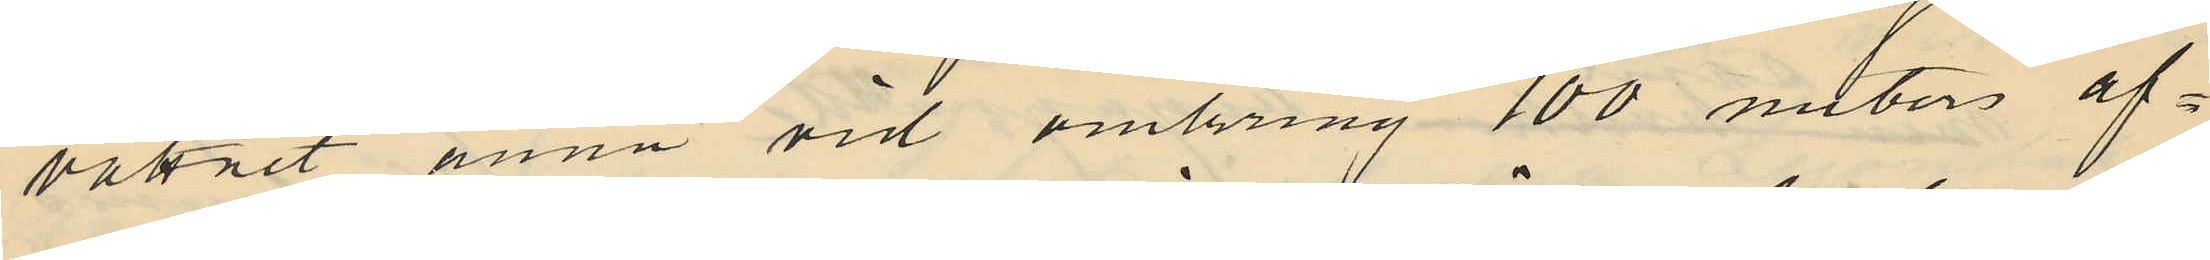vattnet ännu vid omkring 100 meters af¬
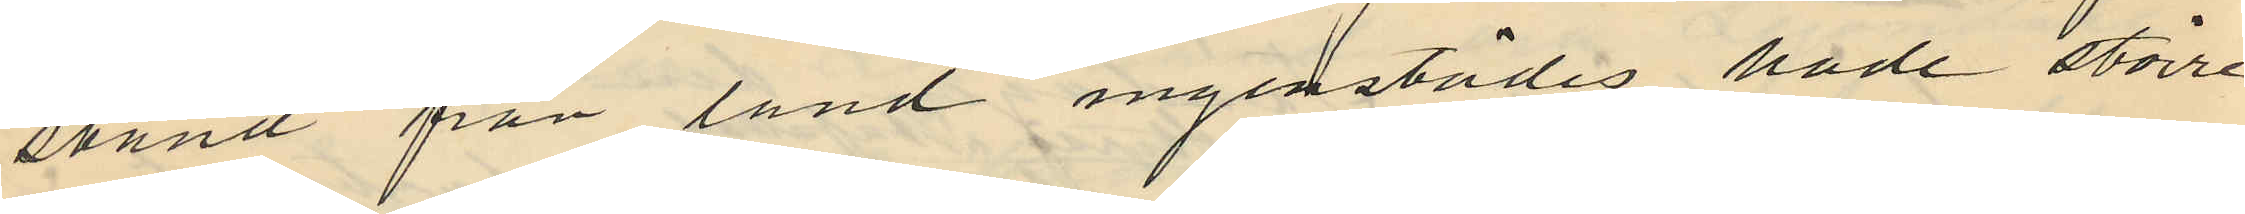stånd från land ingenstädes hade större
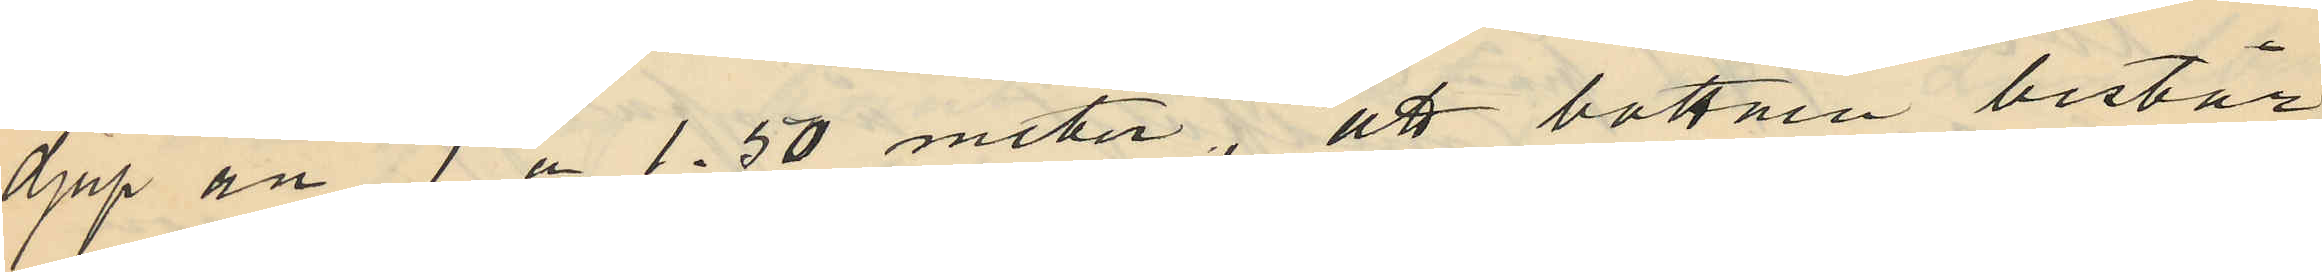djup än 1 a 1.50 meter, att bottnen består
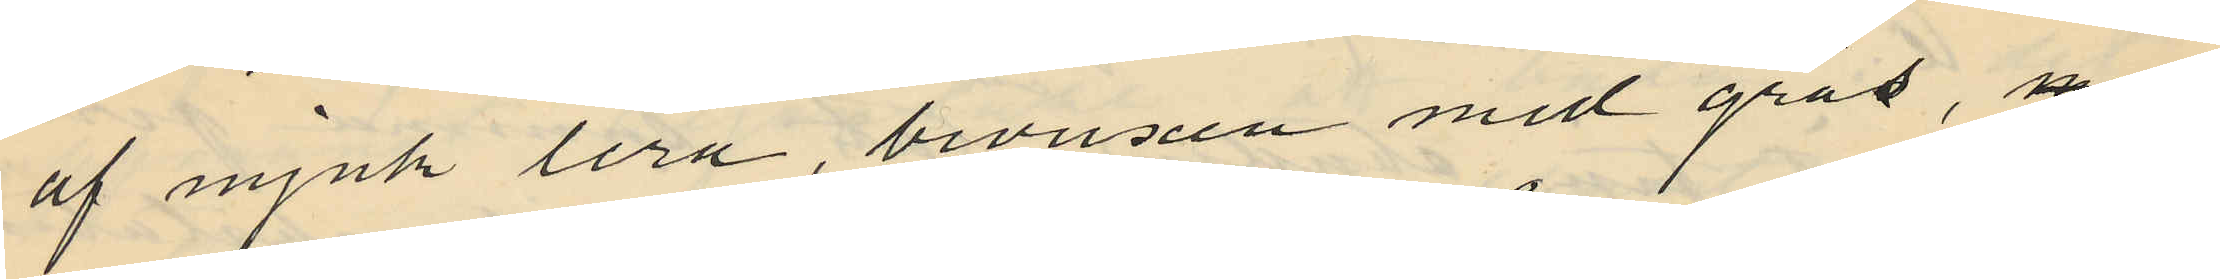af mjuk lera, bevuxen med gräs,
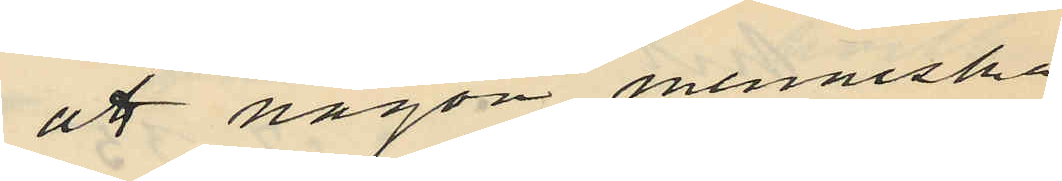att någon menniska
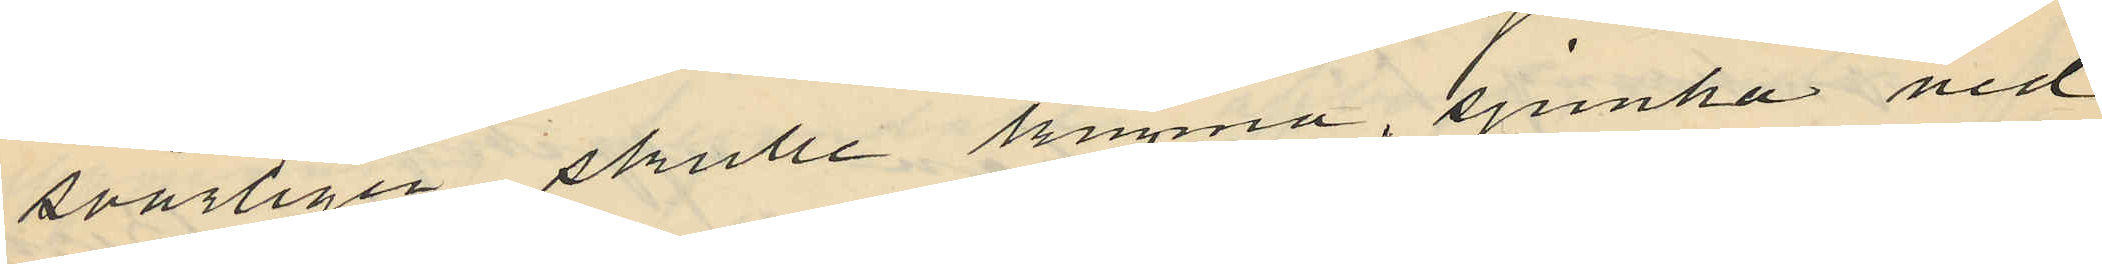svårligen skulle kunna, sjunka ned
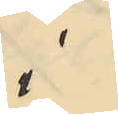i
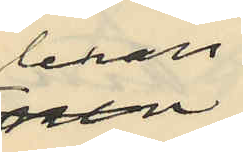leran
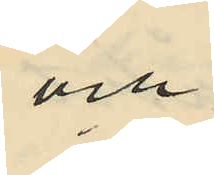och
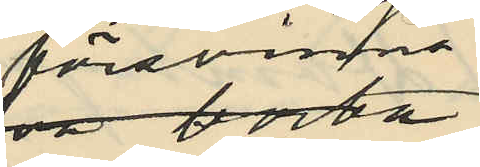försvinna
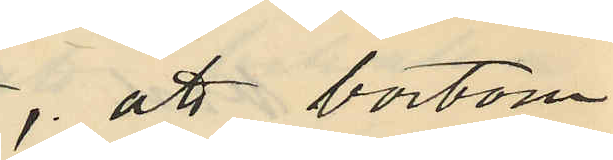att bortom
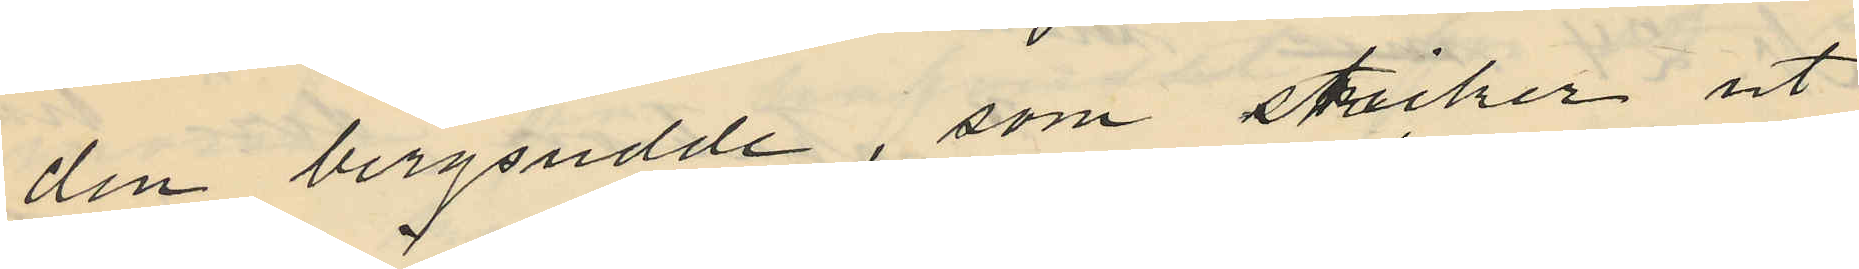den bergsudde, som sticker ut
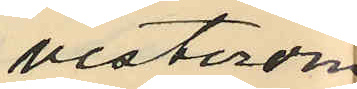vesterom
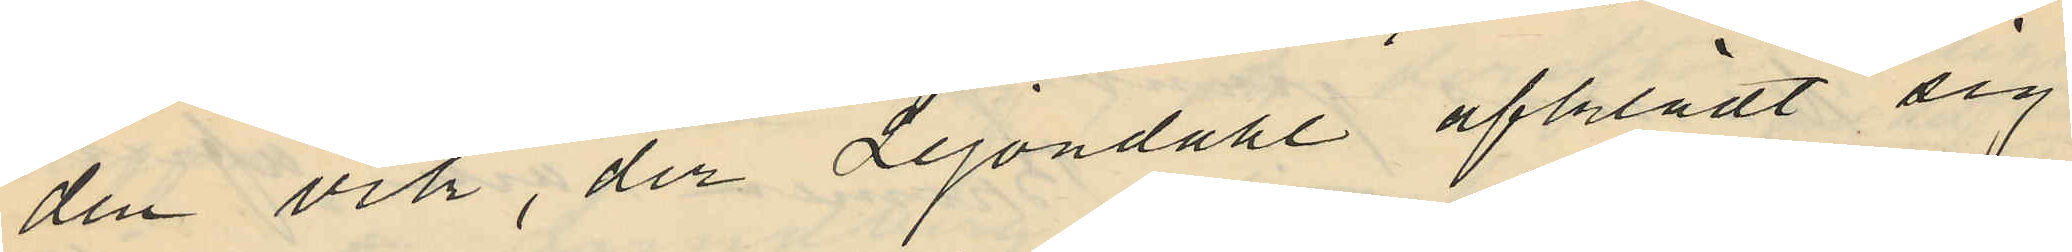den vik, der Lejondahl afklädt sig,
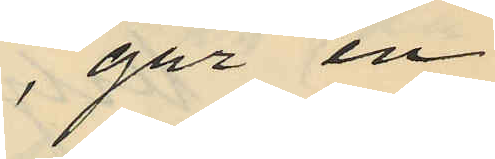går en
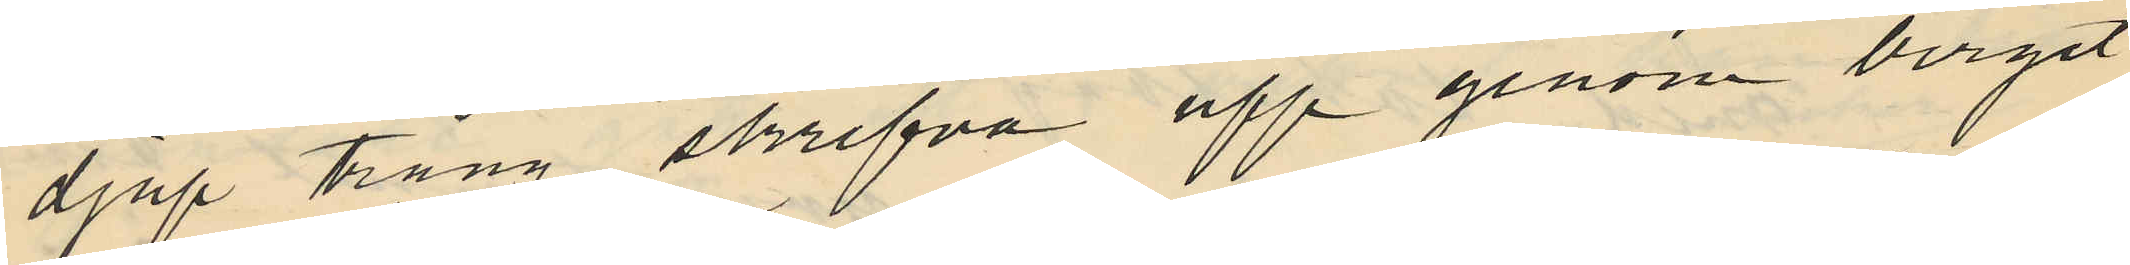djup trång skrefva upp genom berget,
